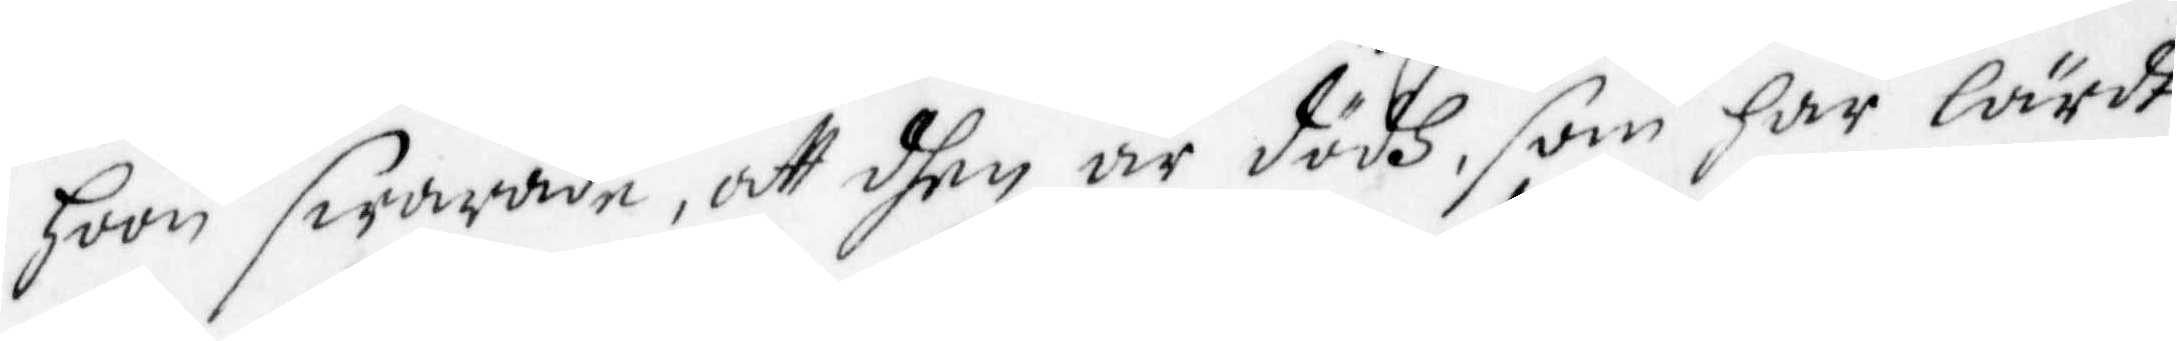hoon swarade, att dhen är dödh, som har lärdt
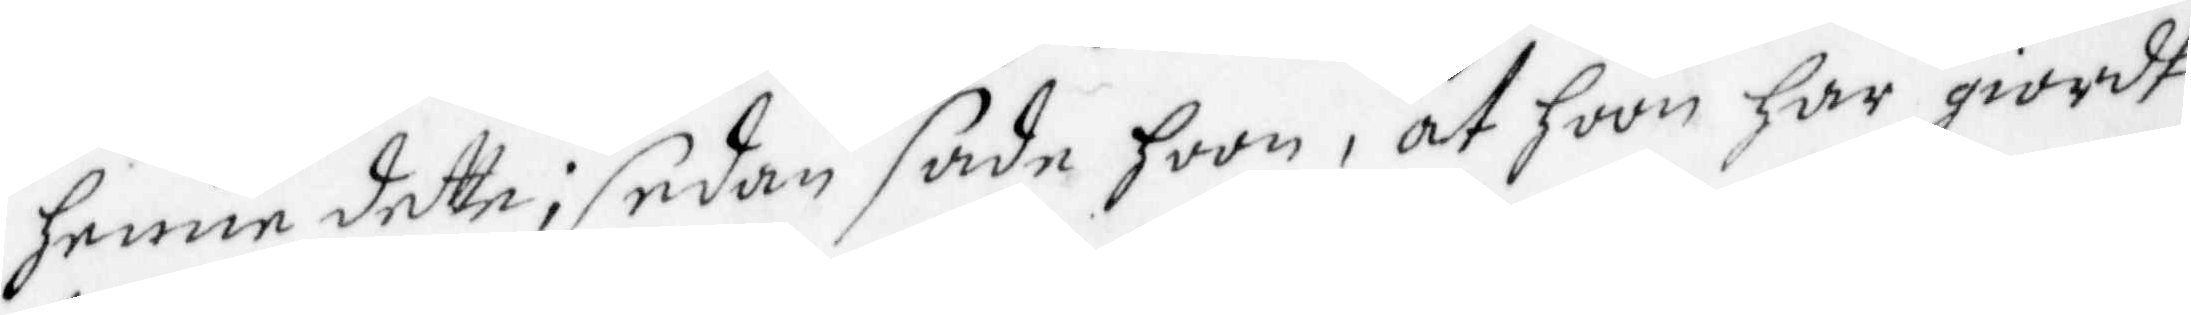henne detta; sedan sade hoon, at hoon har giordt
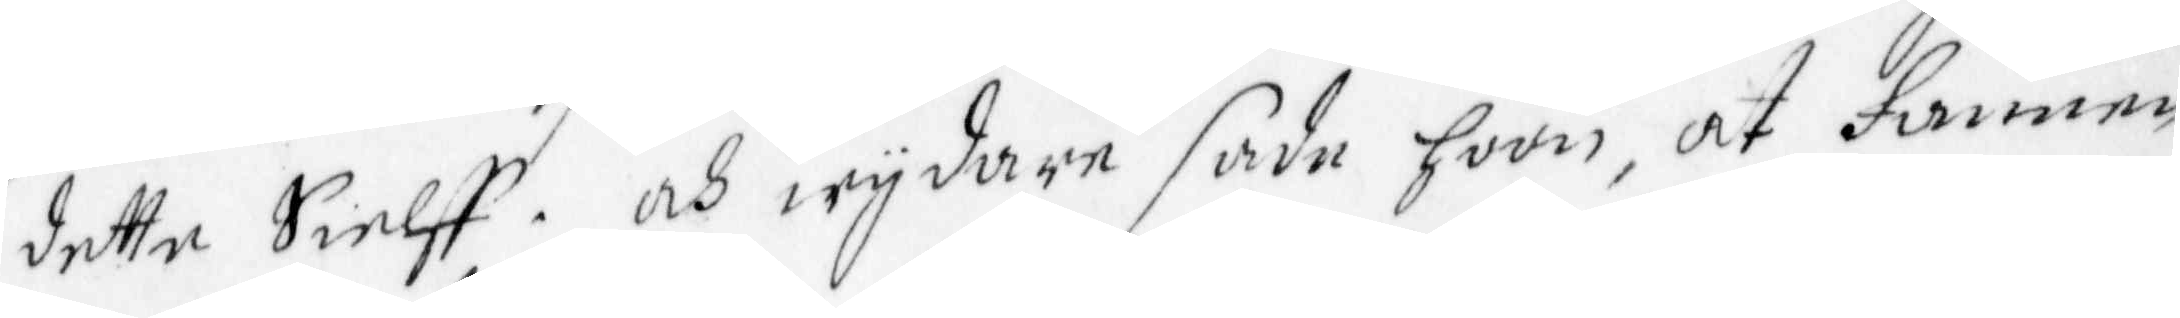detta Sielff. och wydare sade hoon, at Fannen
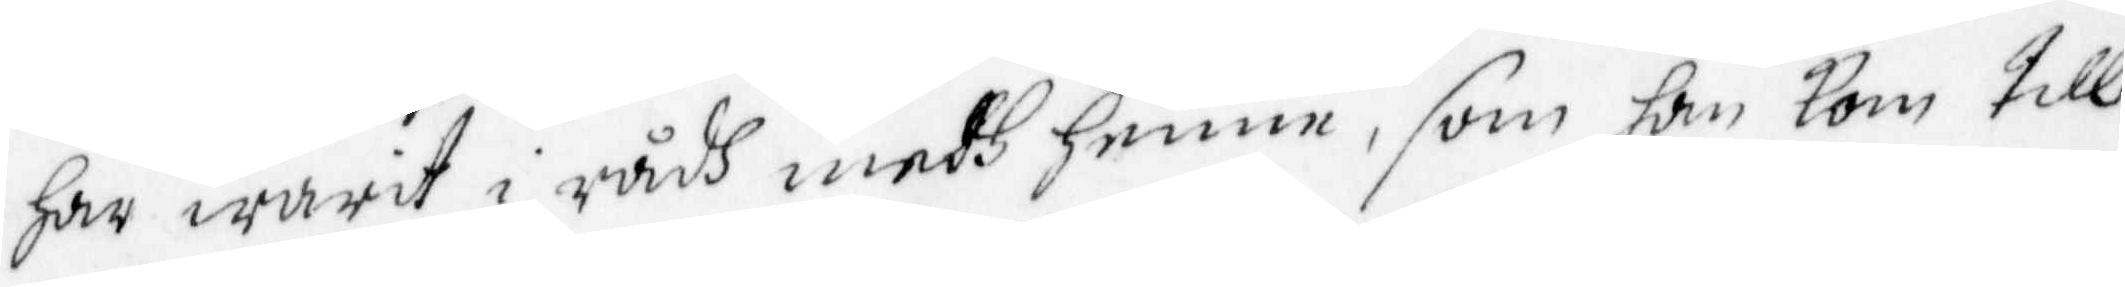Har warit i rådh medh henne, som han kom till
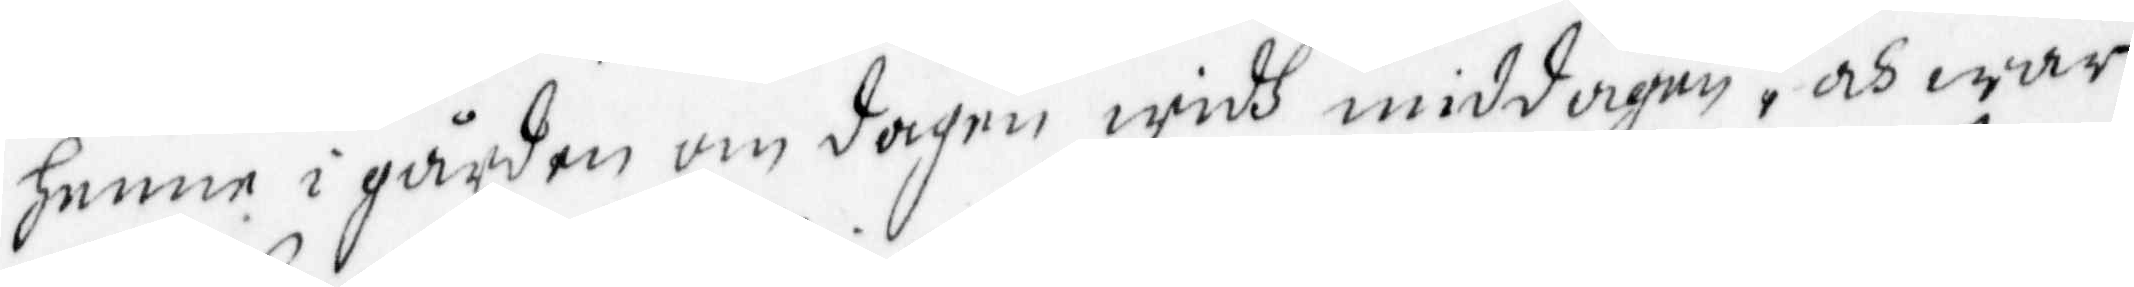henne i gården om dagen widh middagen, och war
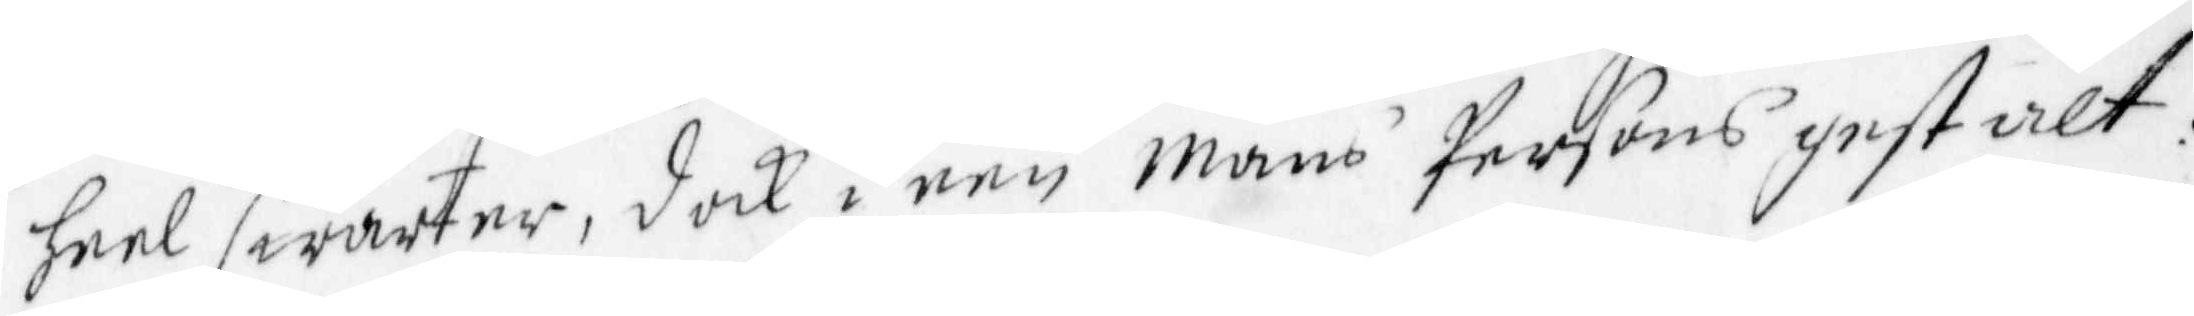heel swarter, dock i een Mans Persons gestalt.
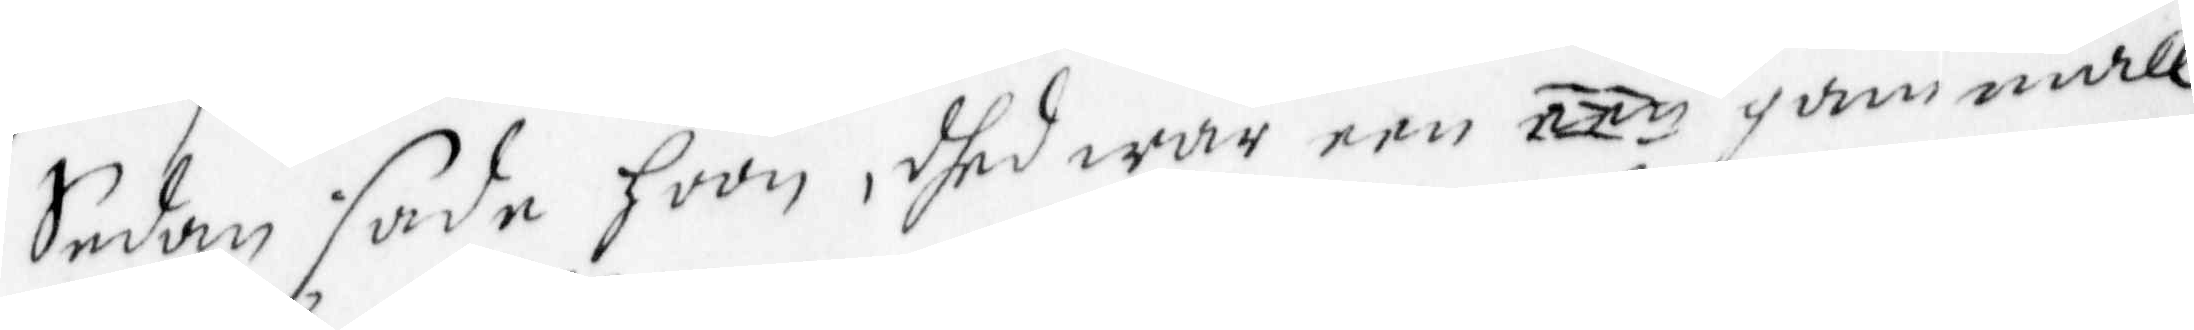Sedan sade hoon, dher war een een gammall
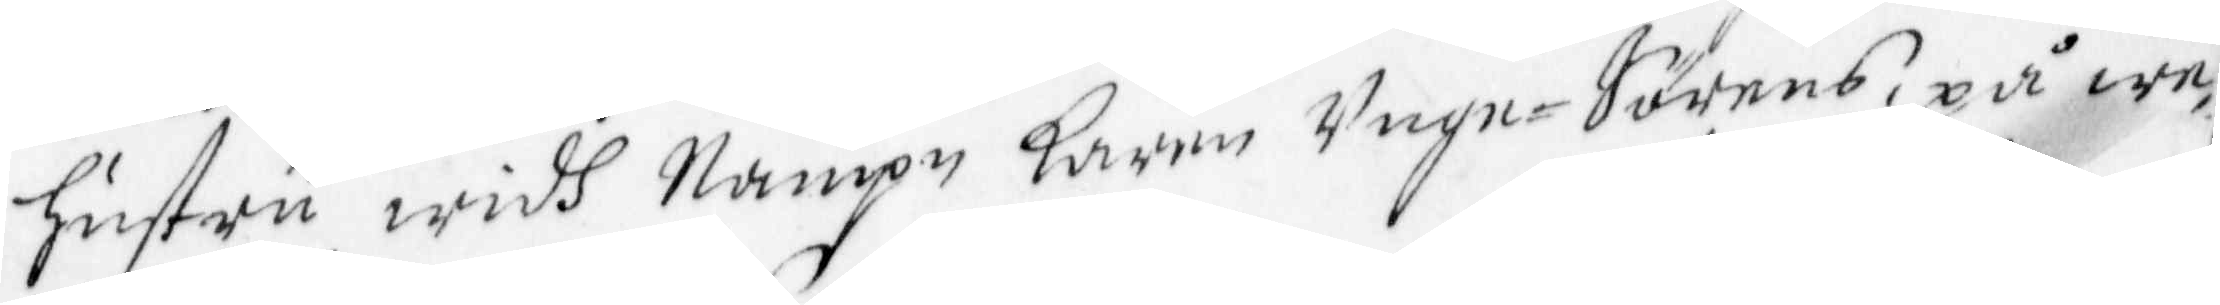hustru widh Nampn Karin Unge Sörens, på we¬
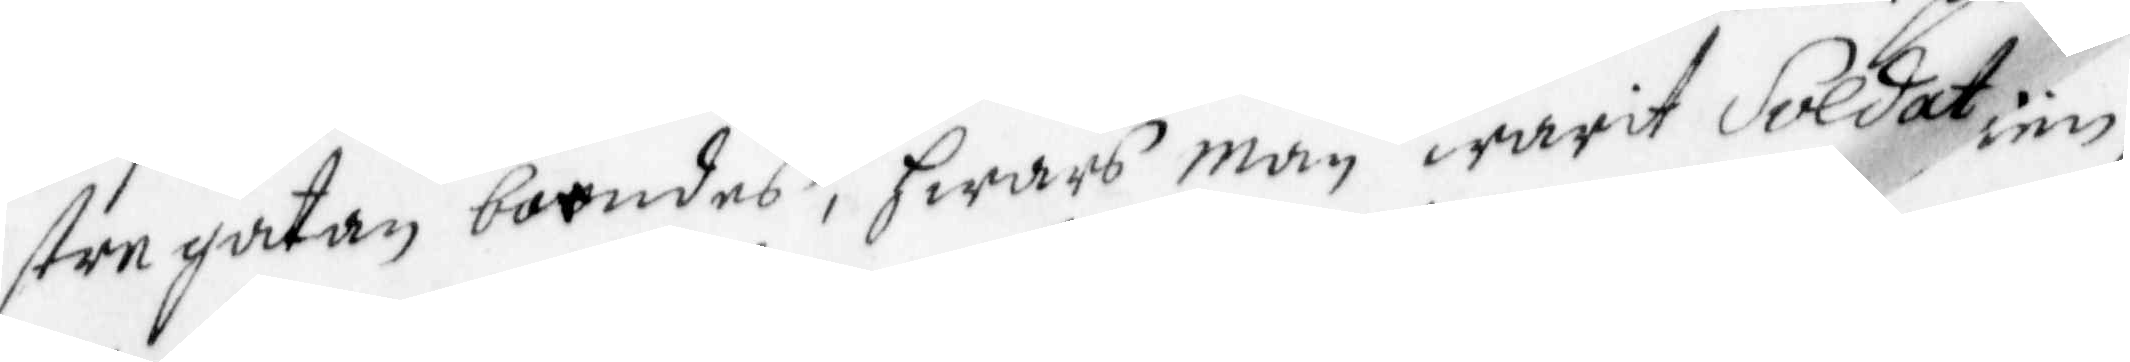stre gatan boendes, hwars man warit Soldat me¬
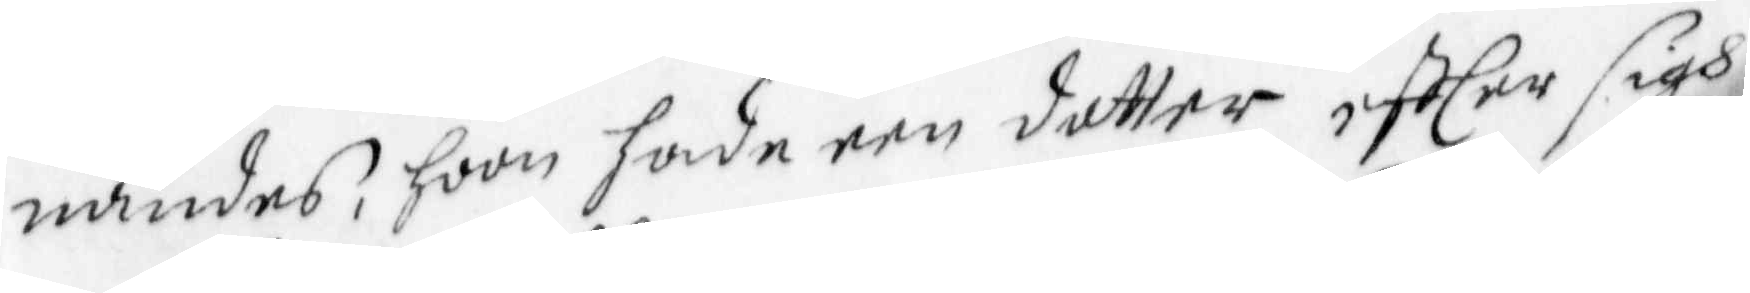nandes, hoon hade een dotter effter sigh.
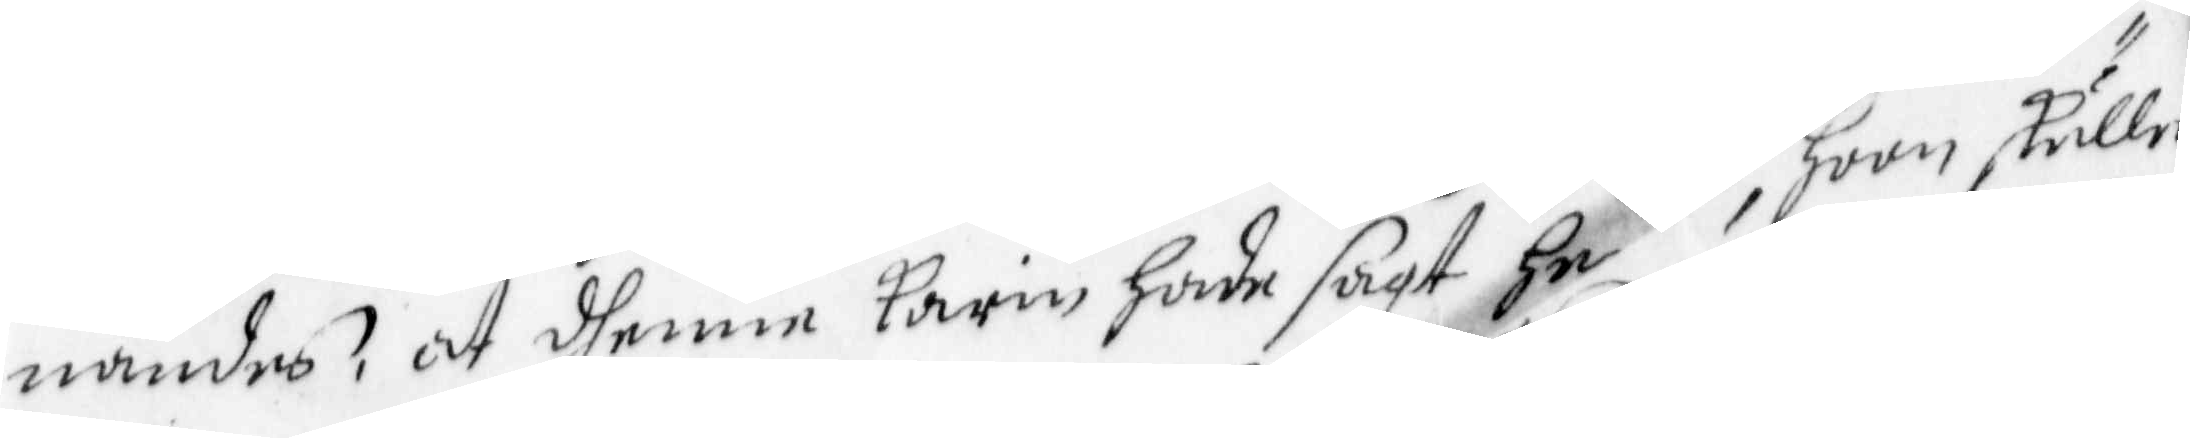nandes, at dhenne Karin hade sagt he hoon skulle
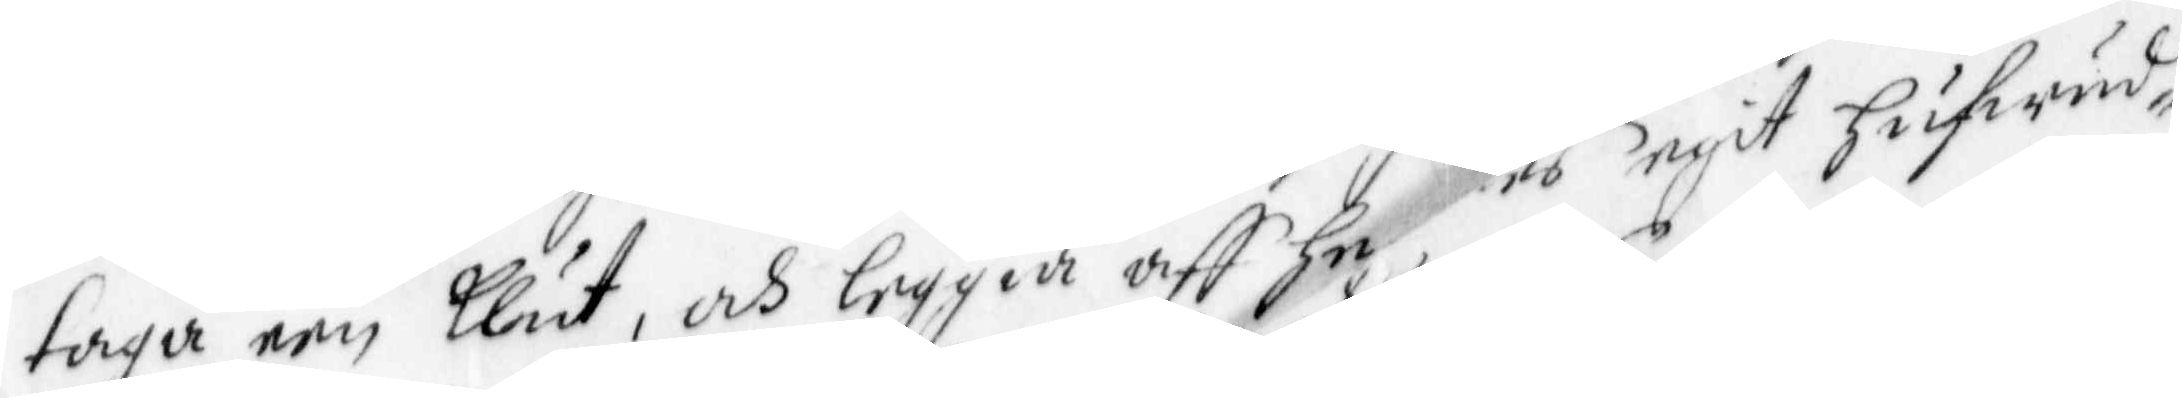taga een Klut, och leggia aff hees egit hufwud¬
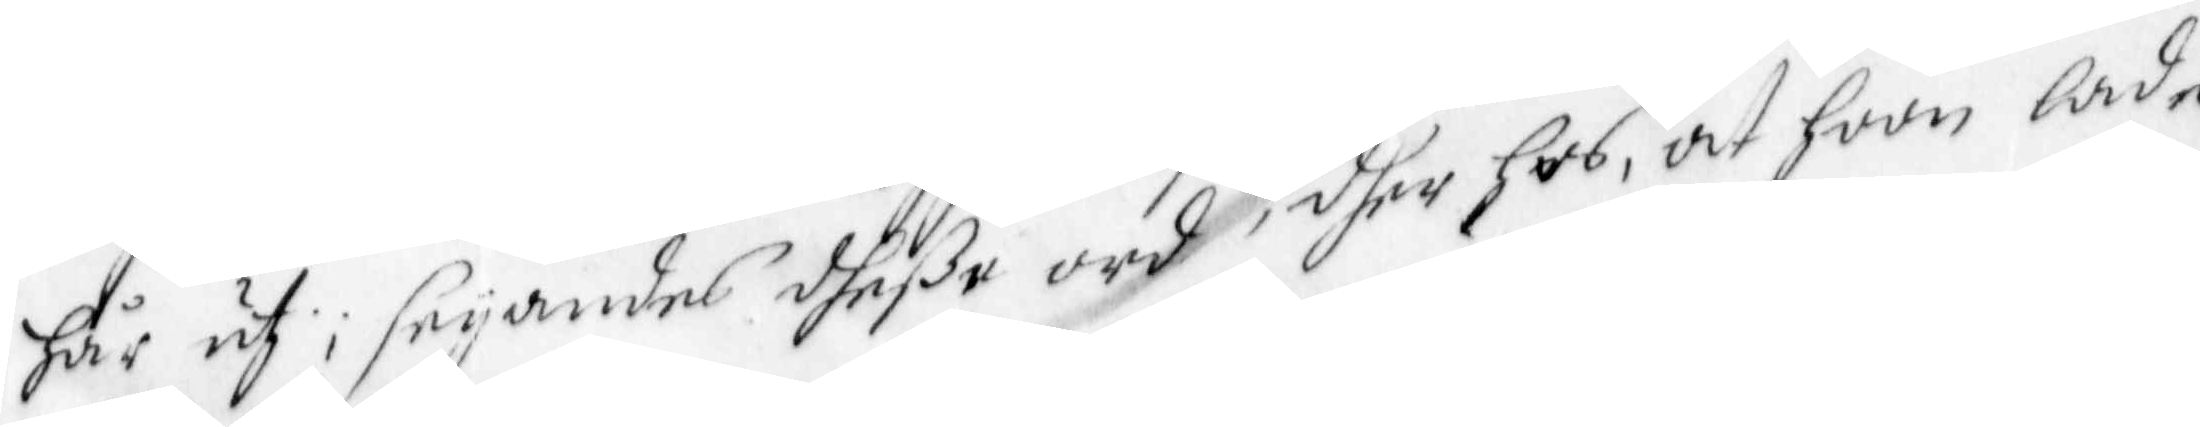hår ut; seyandes dheße ord, dher hos at hoon lade  
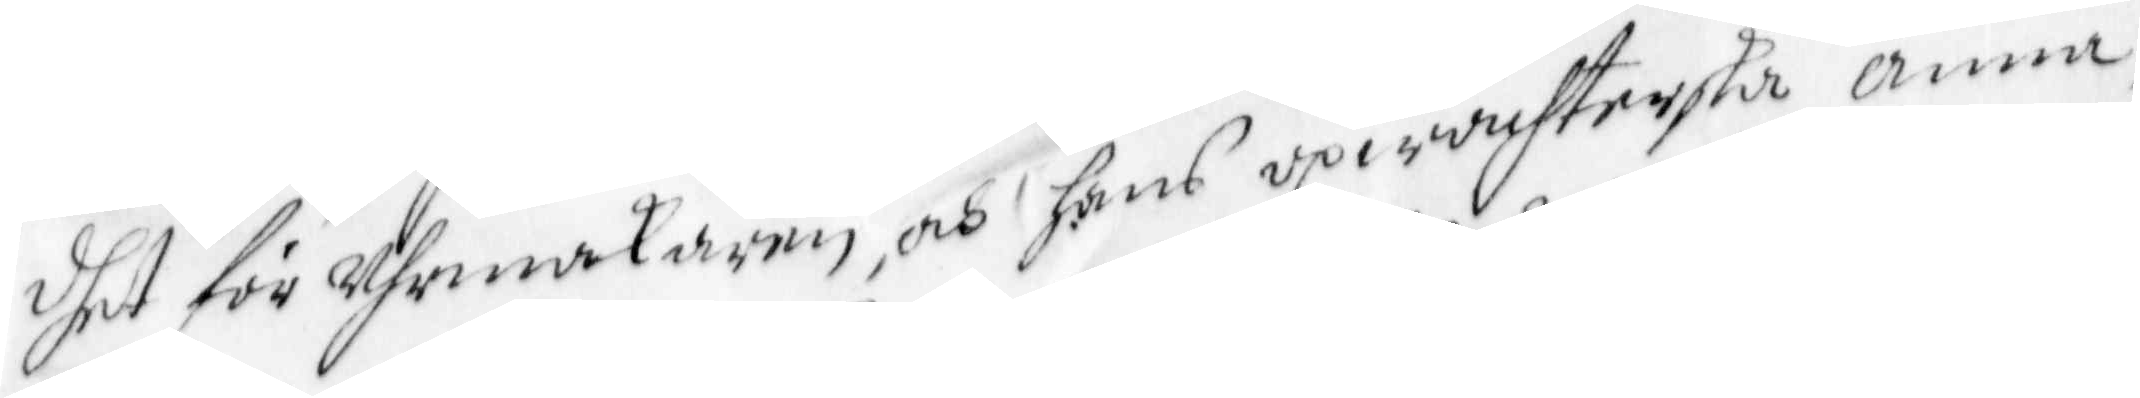dhet för Uhrmakaren, och hans upwachterska Anna
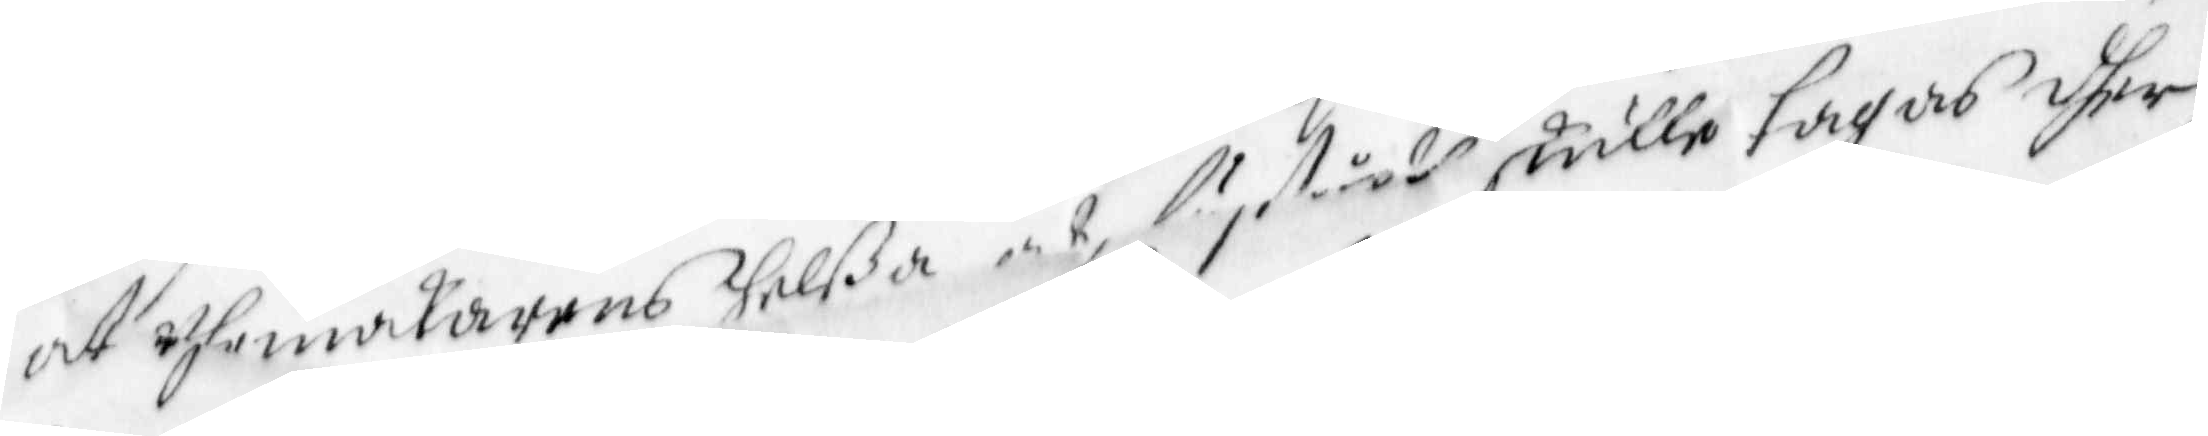at Uhrmakarens helßa och lystått skulle tagas dher
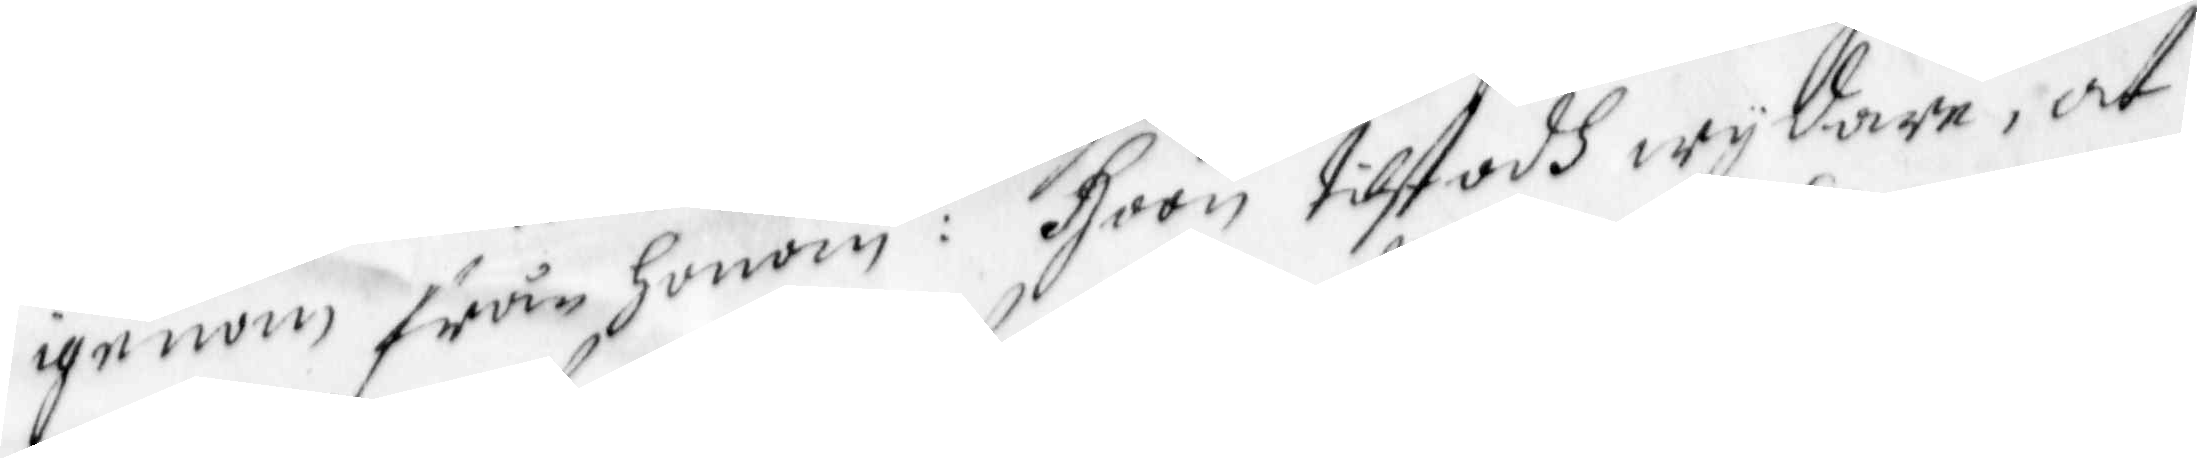igenom från honom: Hoon tilstodh wydare, at
